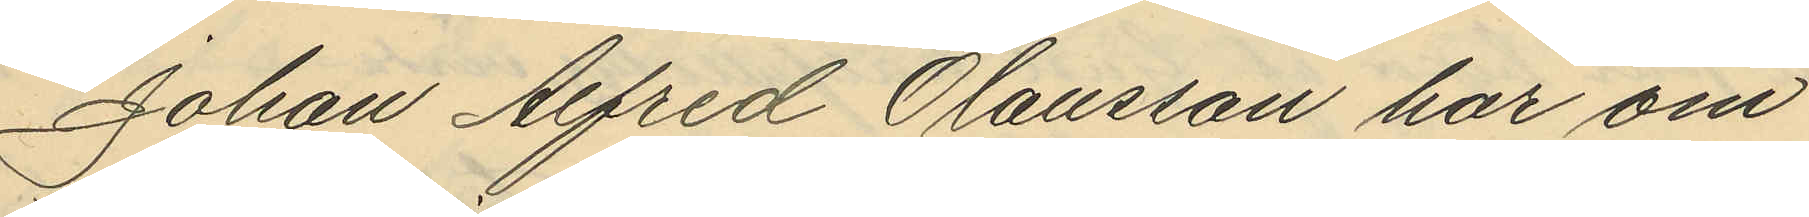Johan Alfred Olausson har om
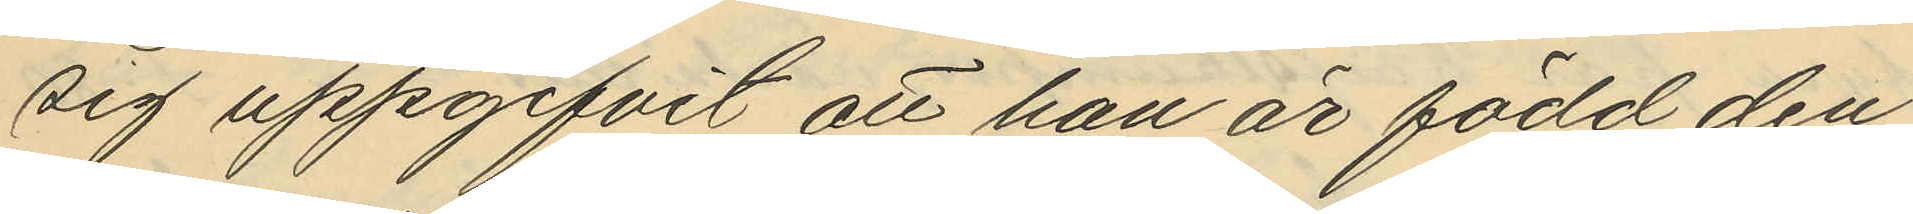sig uppgifvit att han är född den
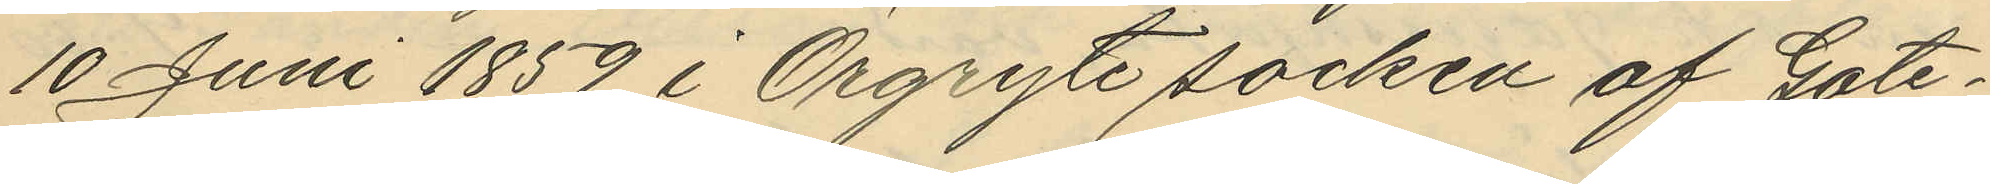10 Juni 1859 i Örgryte socken af Göte¬
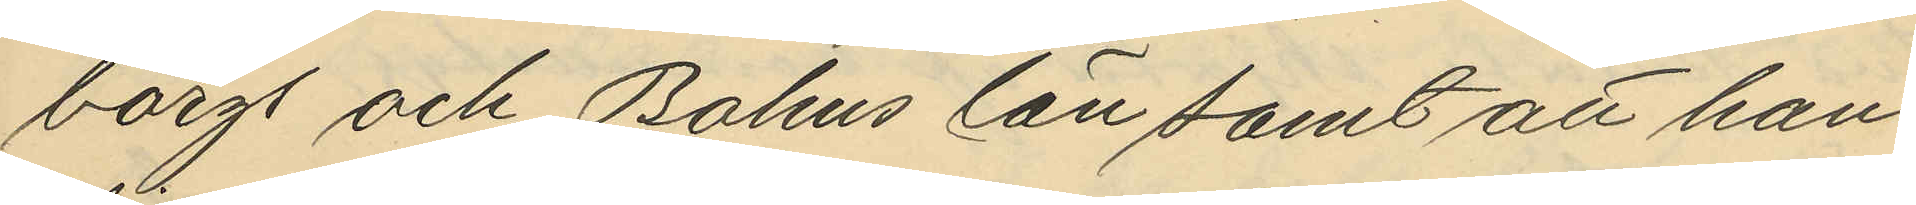borgt och Bohus län samt att han
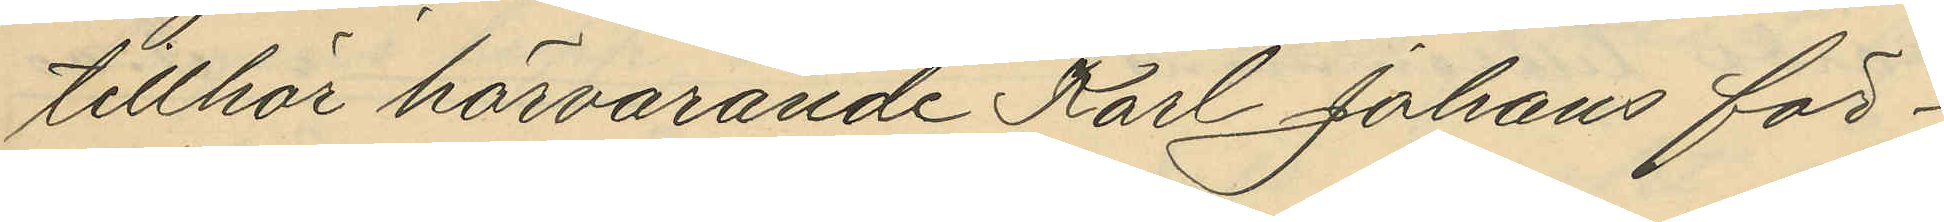tillhör härvarande Karl Johans för¬
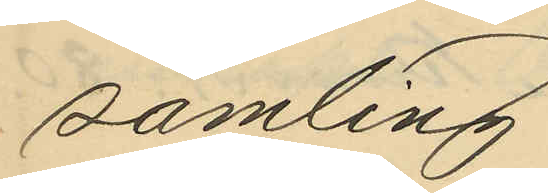samling.
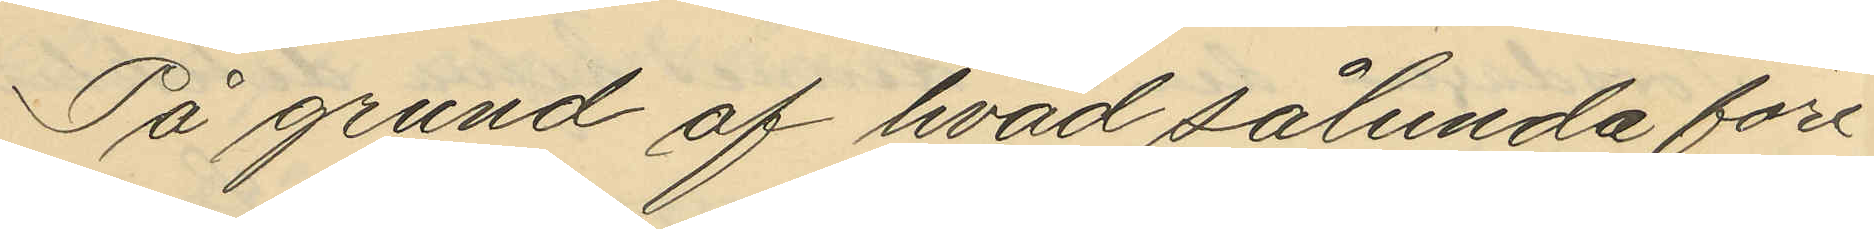På grund af hvad sålunda före¬
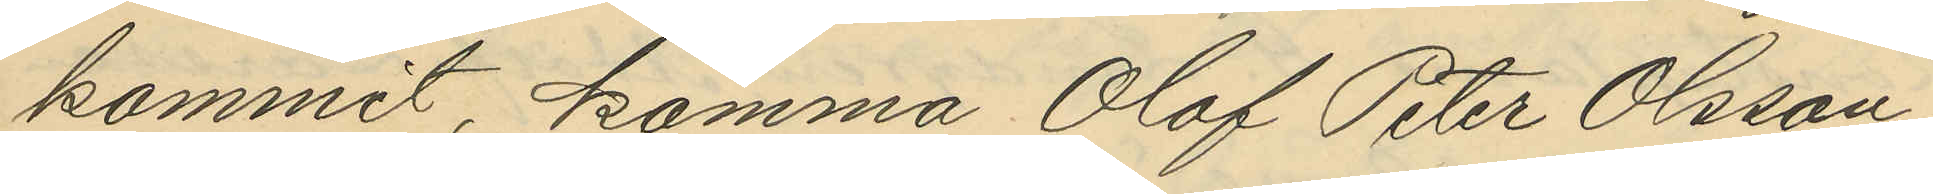kommit komma Olof Peter Olsson
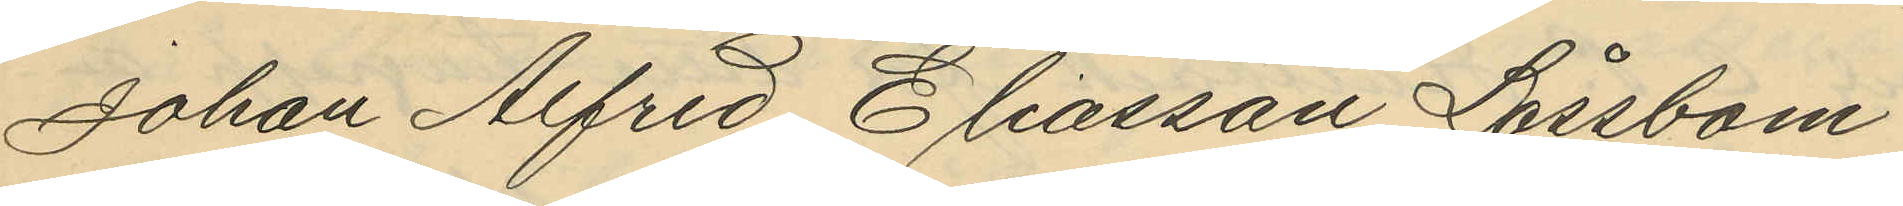Johan Alfred Eliasson Låssbom
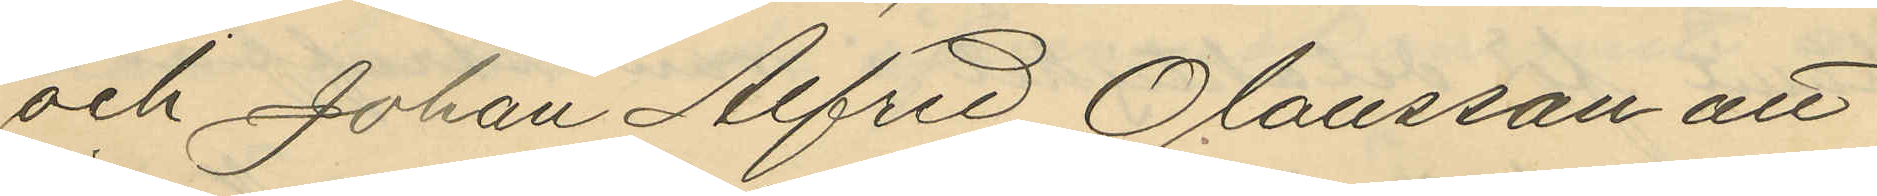och Johan Alfrid Olausson att
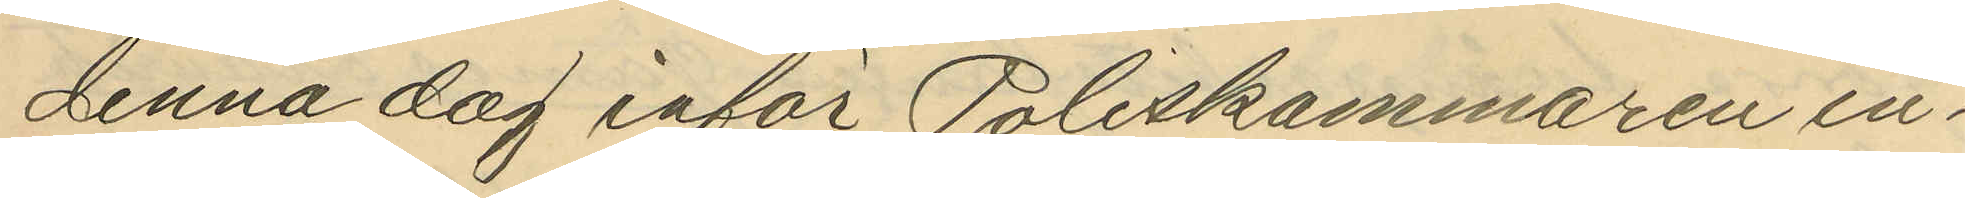denna dag inför Poliskammaren in¬
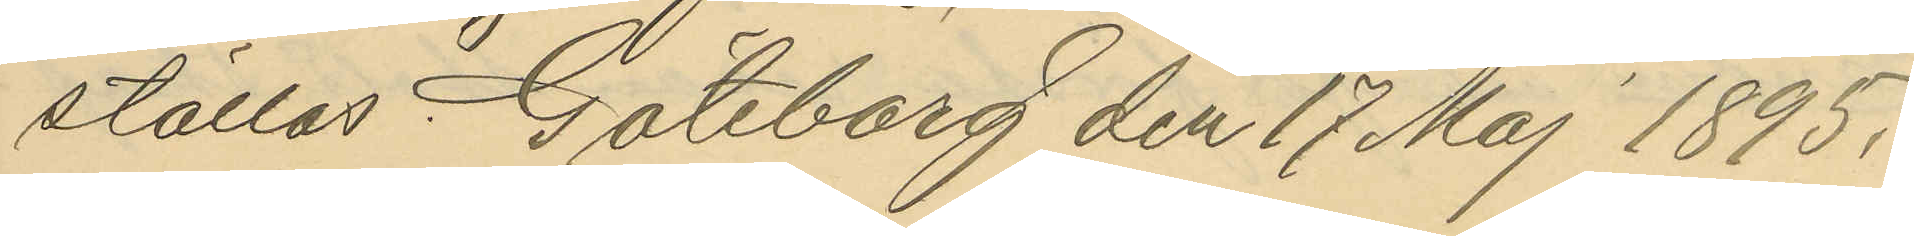ställas. Göteborg den 17 Maj 1895.
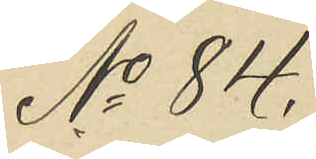No 84.
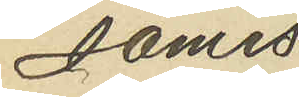James
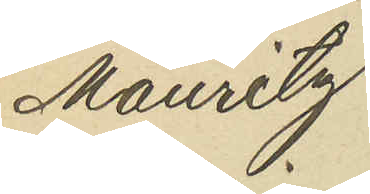Mauritz
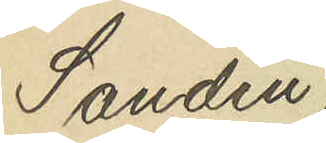Sandin,
